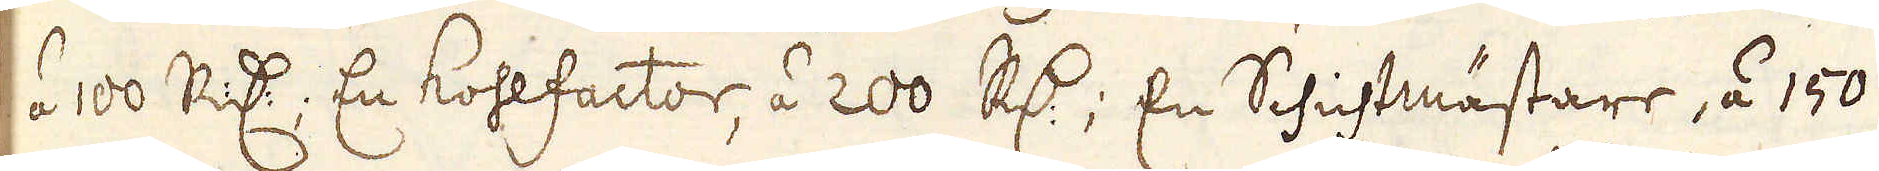à 100 R:dr; En Kohlfactor, á 200 R:dr; En Schichtmästare, á 150
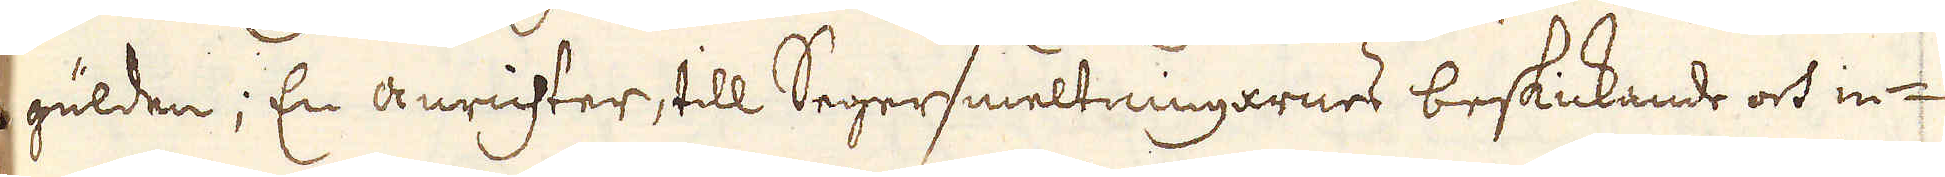gulden; En anrichter, till Segersmeltningarnes beskickande och in-
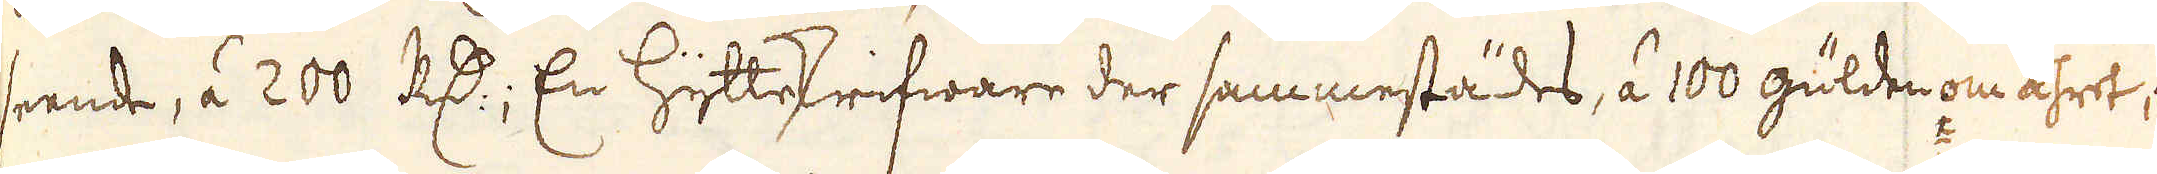seende, á 200 R:dr; En Hytteskrifware der sammestädes, á 100 gulden om åhret;
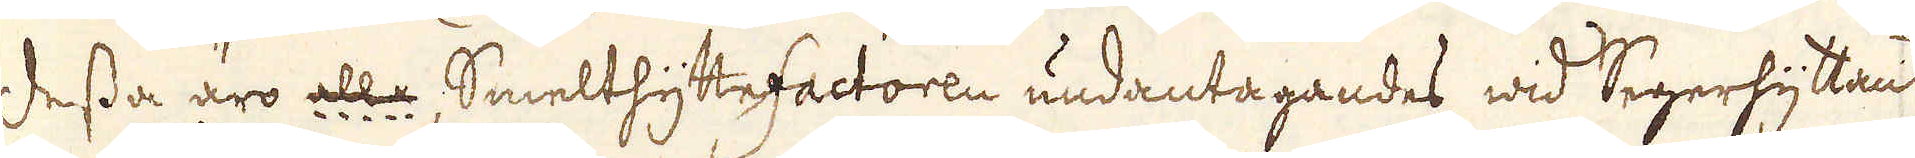Dessa äro alla, Smelthyttefactoren undantagandes, wid Segerhyttan
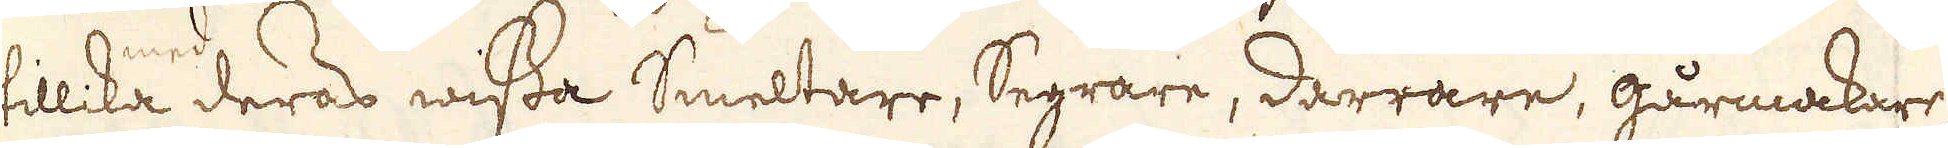tillika med deras wissa Smeltare, Segrare, Darrare, gårmakare,
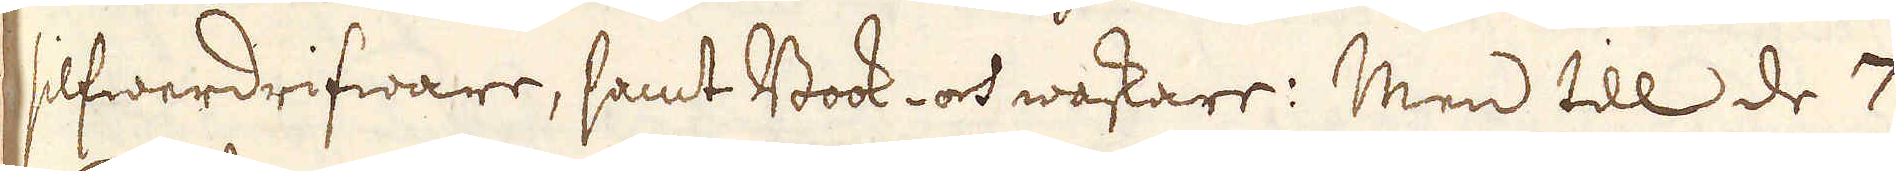silfwerdrifware, samt Book- och waskare: Men till de 7
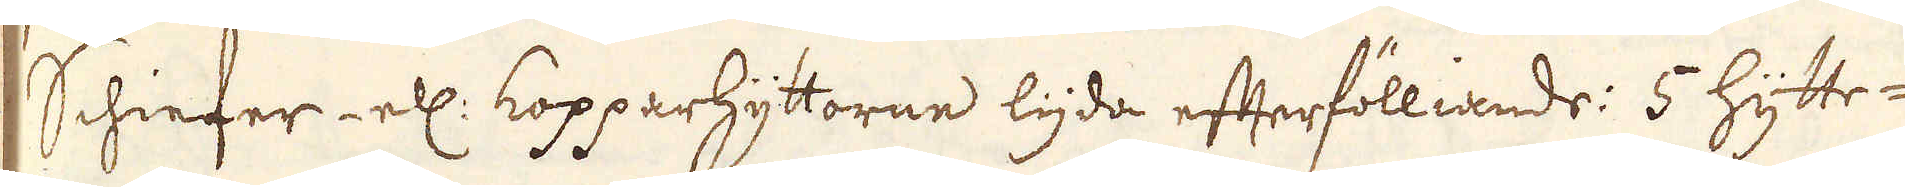Schiefer- ell: kopparhyttorne lyda efterfölliande: 5 Hytte-
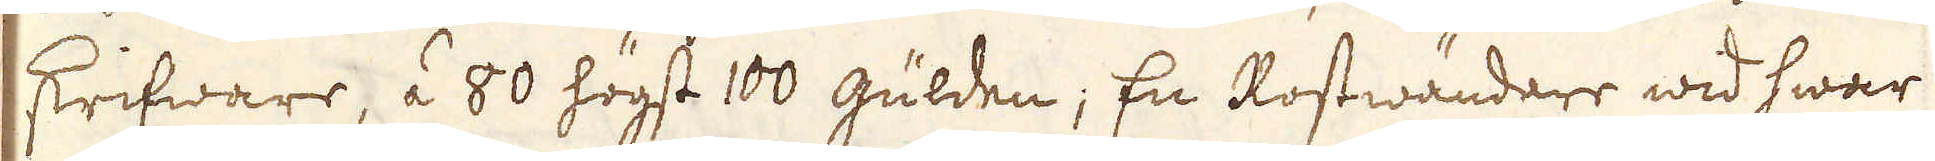skrifware, á 80 högst 100 gulden; En Rostwändare wid hwar
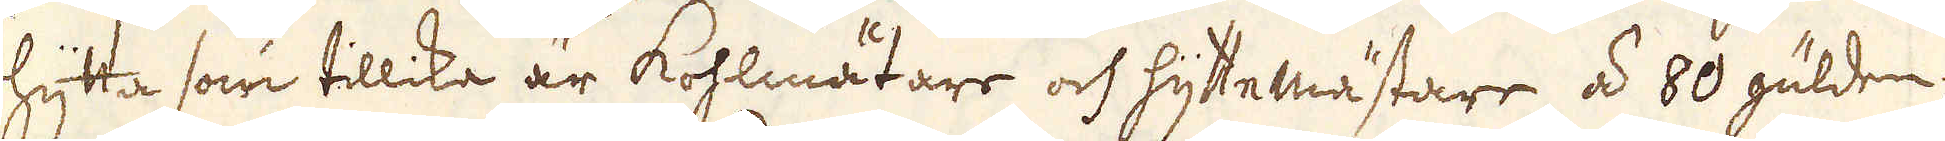hytta som tillika är Kohlmätare och hyttemästare, á 80 gulden;
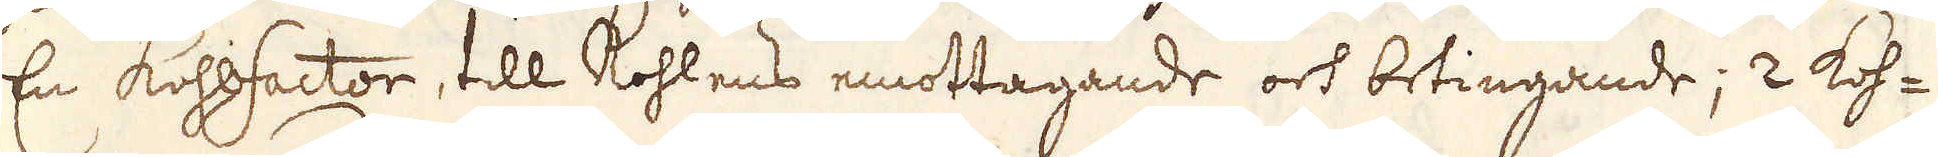En Kohlfactor, till Kohlens emottagande och betingande; 2 koh-
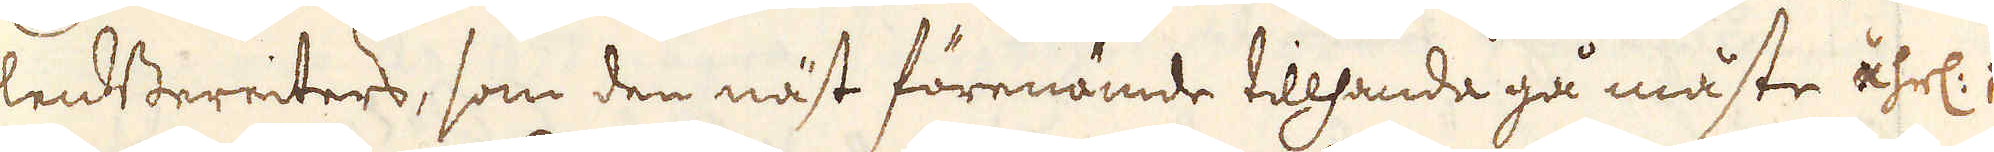lendBereiters, som den näst förenämde tillhanda gå måste åhrl:;
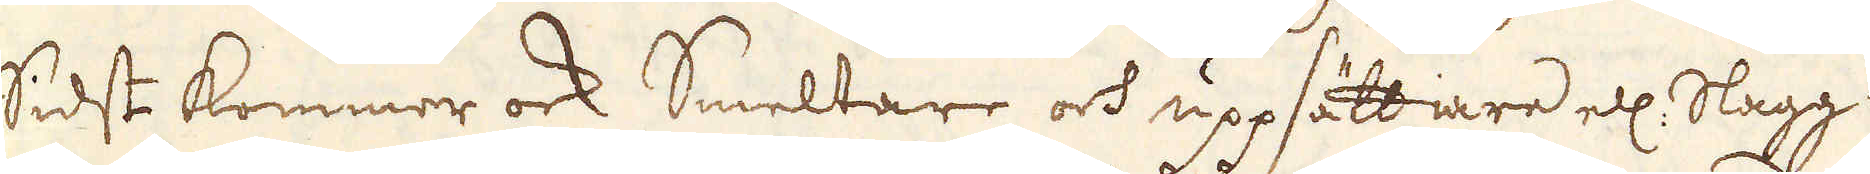sidst kommer ock Smeltare och uppsättiare ell: Slagg-
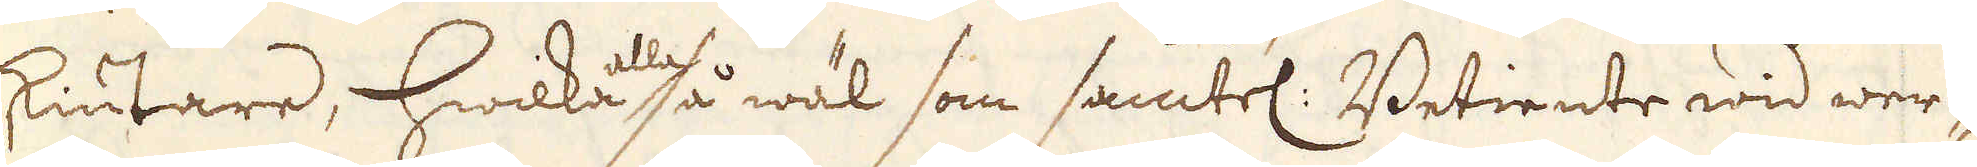skiutare, hwilka alla så wäl som samtel: Betiente wid wer-
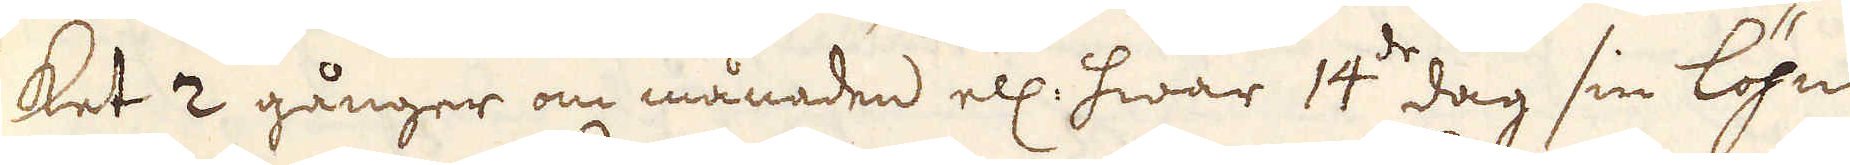ket 2 gånger om månaden ell: hwar 14:de dag sin löhn
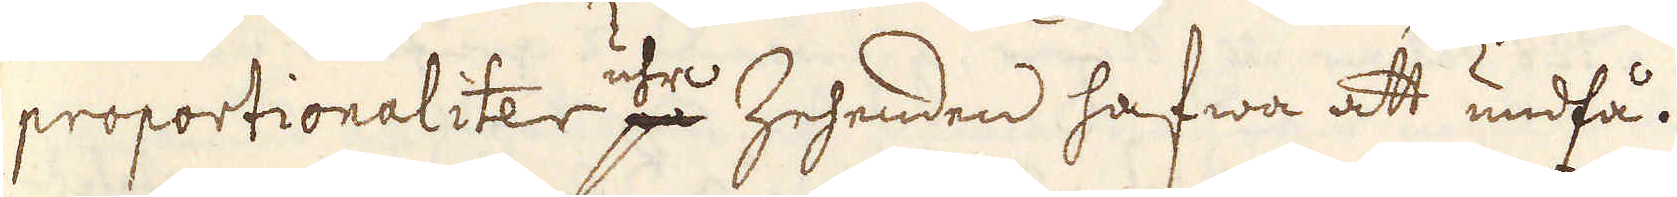proportionaliter uhr Zehenden hafwa att undfå.
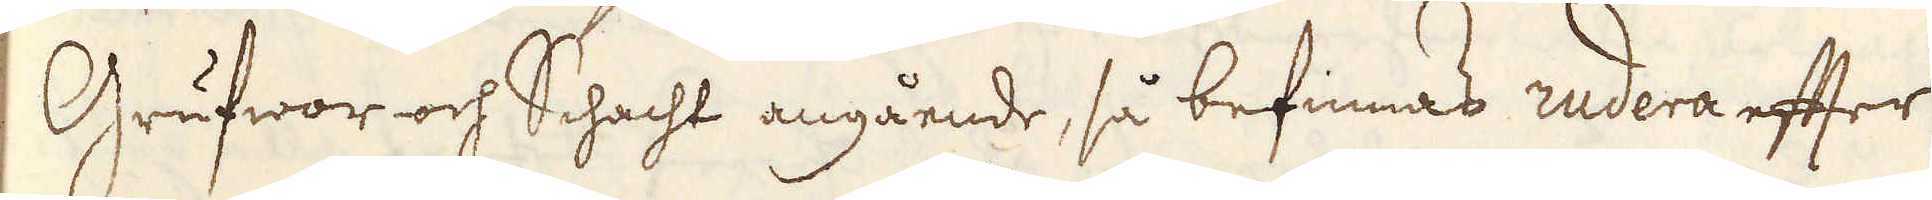Grufwor och Schacht angående, så befinnas rudera efter
